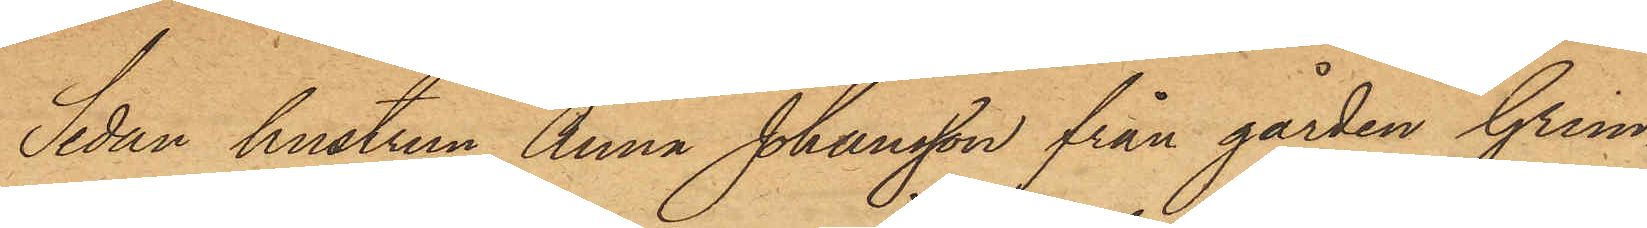Sedan hustrun Anna Johansson från gården Grim¬
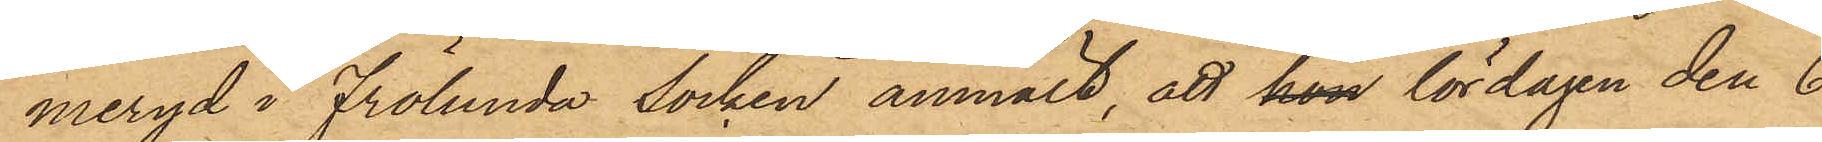meryd i Frölunda socken anmält, att hon lördagen den 6
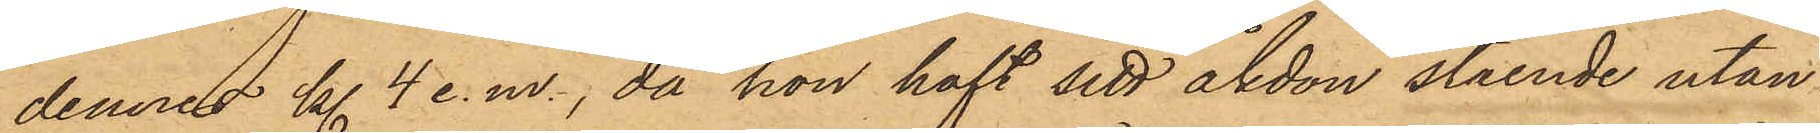dennes kl. 4 e.m., då hon haft sitt åkdon stående utan¬
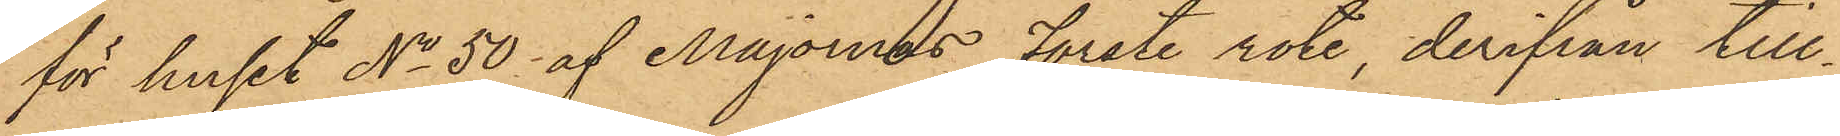för huset No 50 af Majornas Förste rote, derifrån till¬
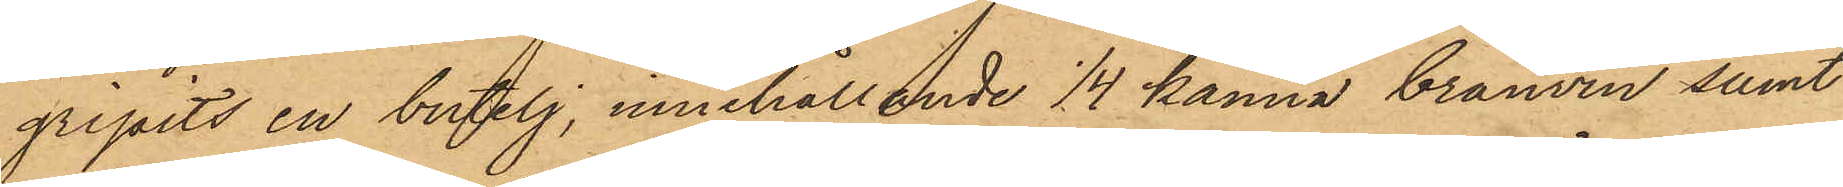gripits en butelj, innehållande 1/4 kanna bränvin samt
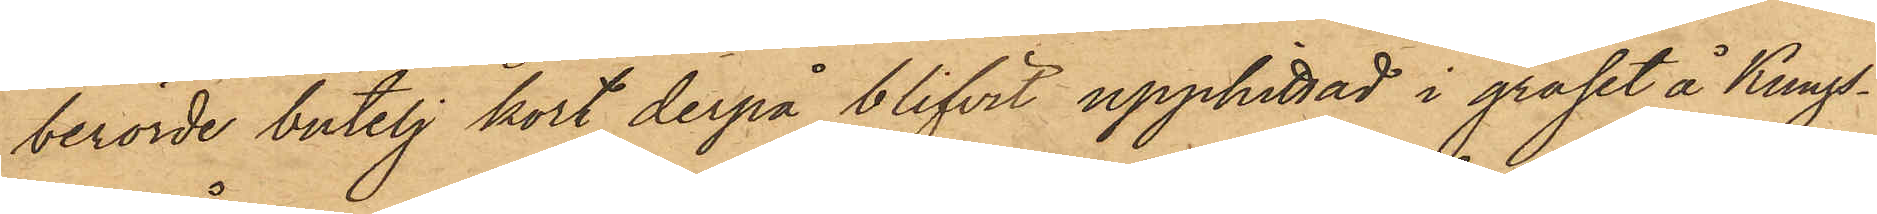berörde butelj kort derpå blifvit upphittad i gräset å Kungs¬
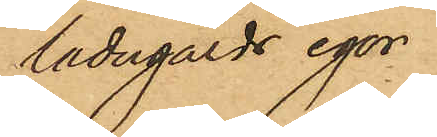ladugårds egor
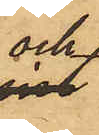och
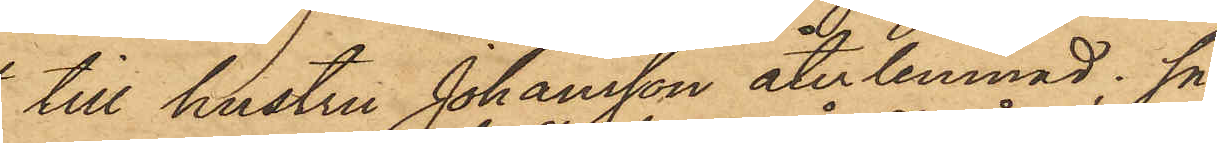till hustru Johansson återlemnad, så
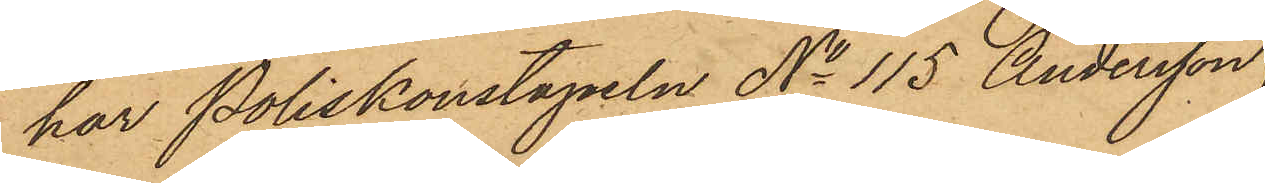har Poliskonstapeln No 115 Andersson
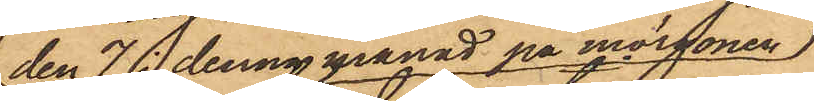den 7 i denna månad på morgonen
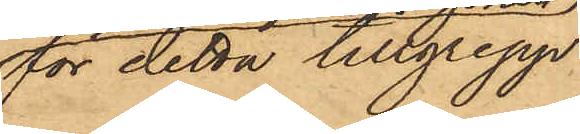för detta tillgrepp
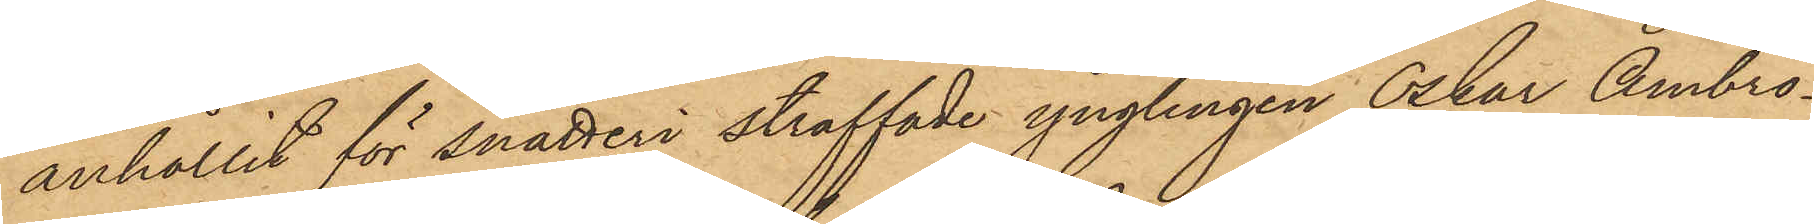anhållit för snatteri straffade ynglingen Oskar Ambro¬
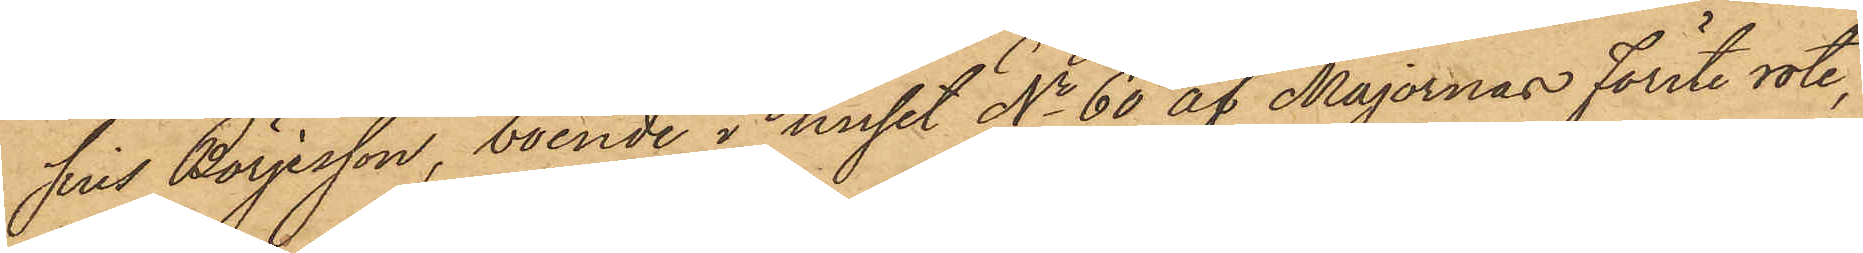sius Börjesson, boende i huset No 60 af Majornas Förste rote,
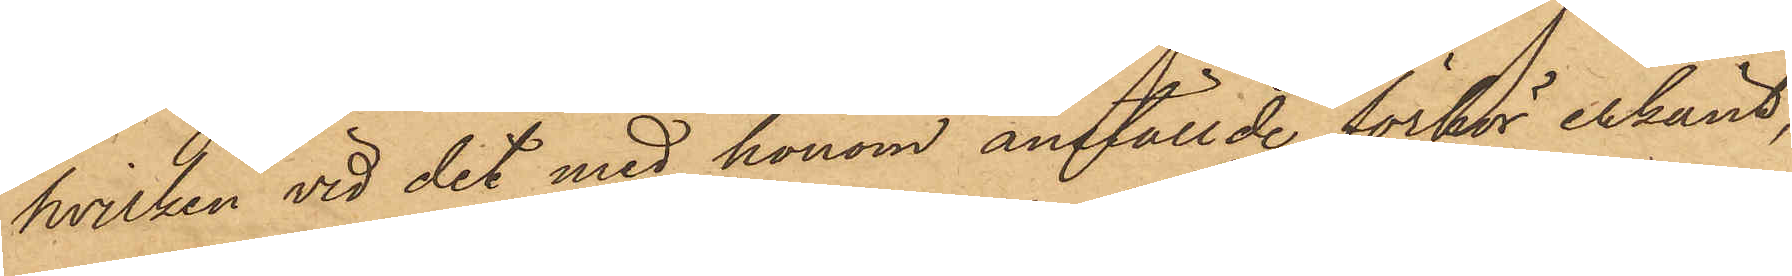hvilken vid det med honom anställde förhör erkänt,
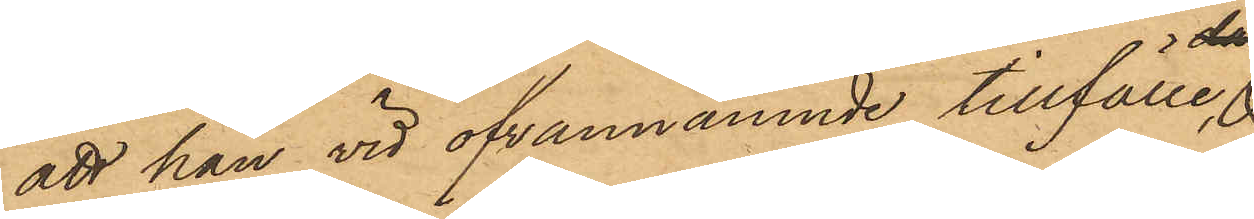att han vid ofvannämnde tillfälle
